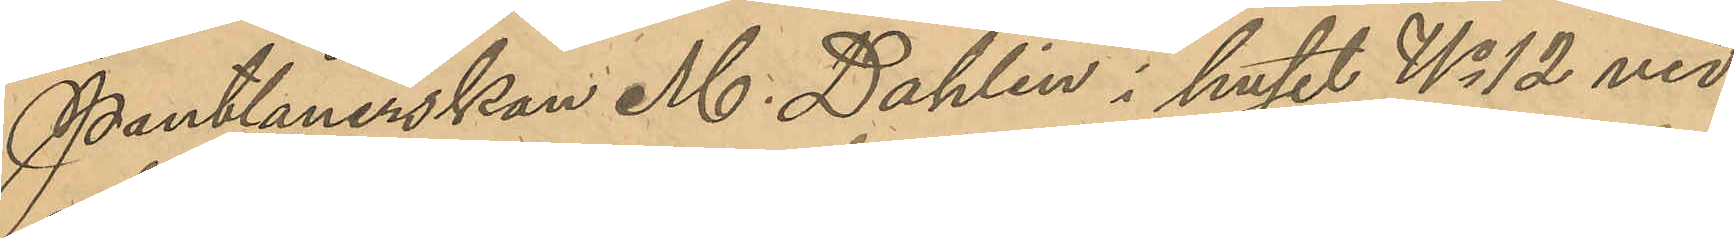Pantlånerskan M. Dahlin, i huset No 12 vid
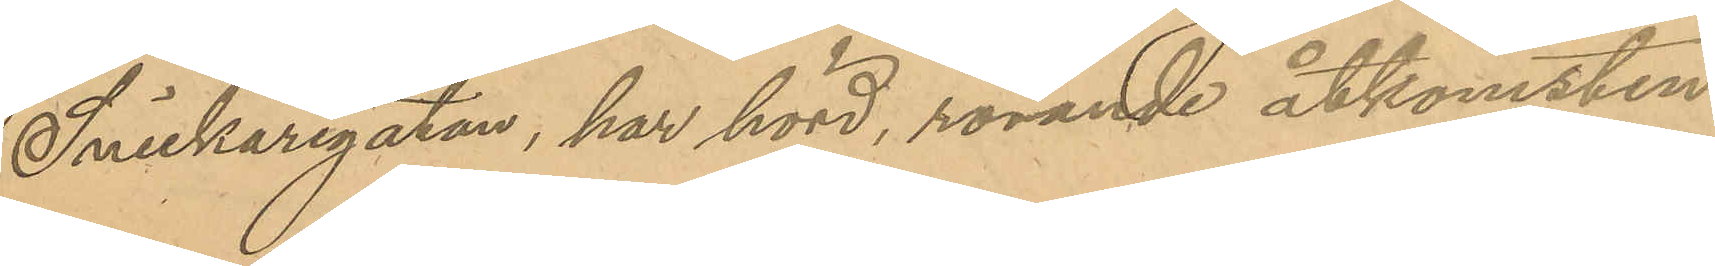Snickaregatan, har hörd, rörande åtkomsten
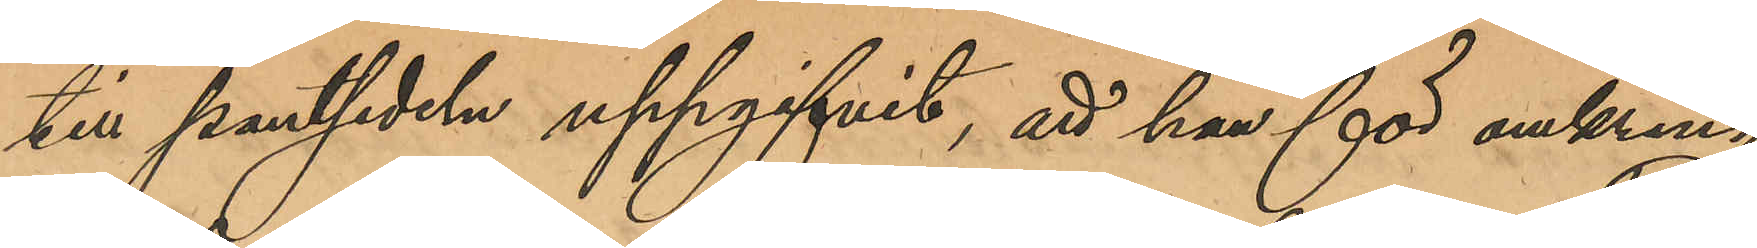till pantsedeln uppgifvit, att han för omkring
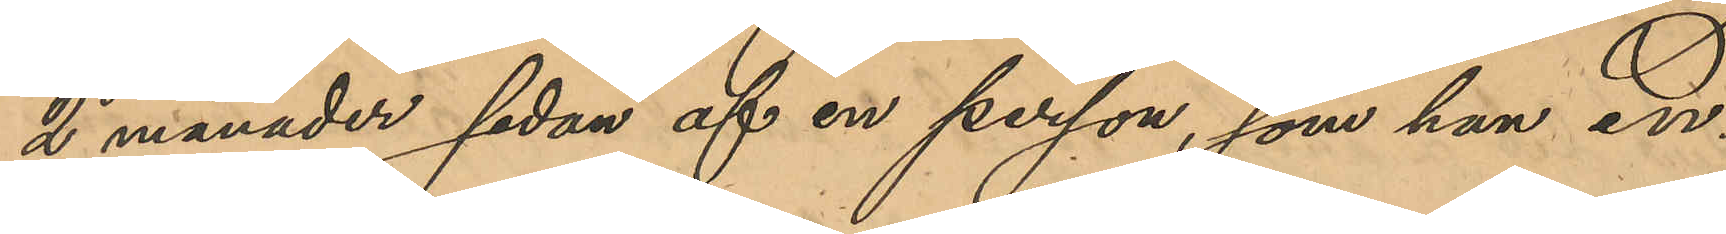2 månader sedan af en person, som han en¬
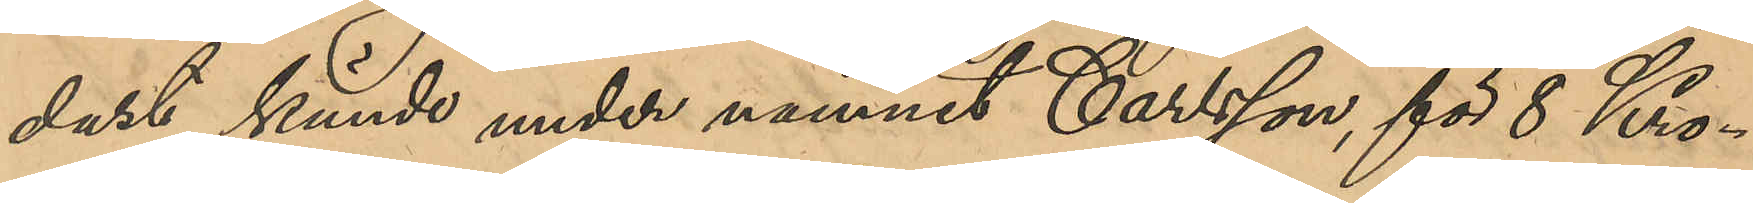dast kände under namnt Carlsson, för 8 Kro¬
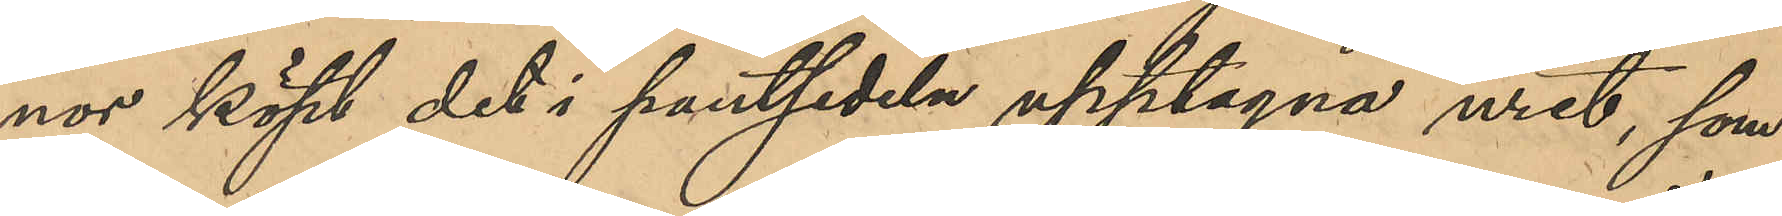nor köpt det i pantsedeln upptagna uret, som
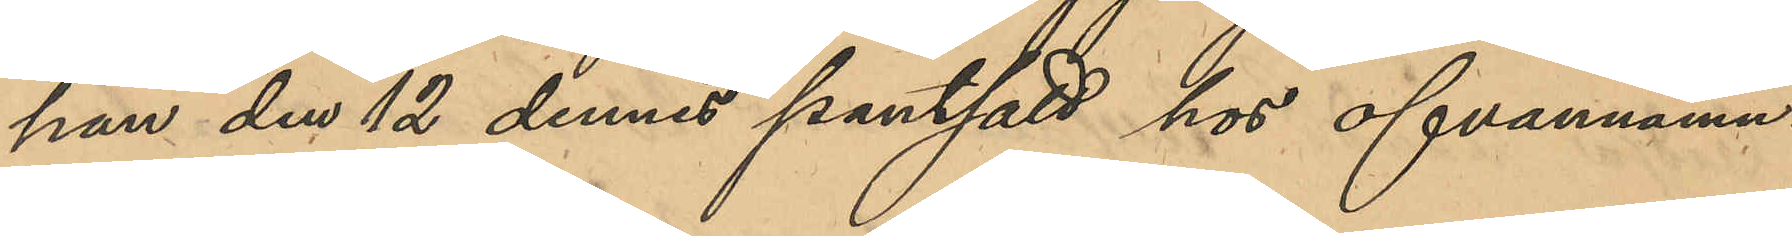han den 12 dennes pantsatt hos ofvannämn¬
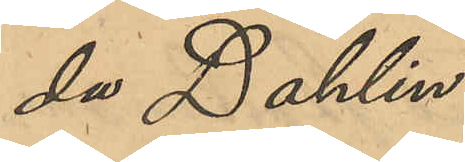da Dahlin.
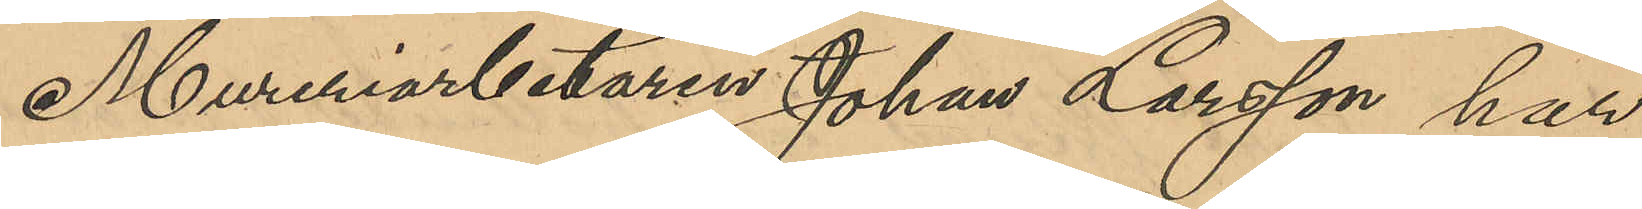Mureriarbetaren Johan Larsson har
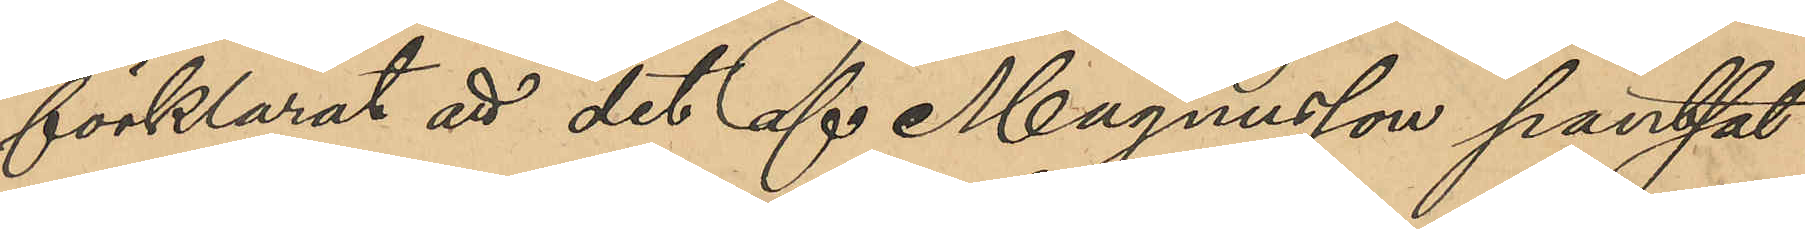förklarat att det af Magnusson pantsat¬
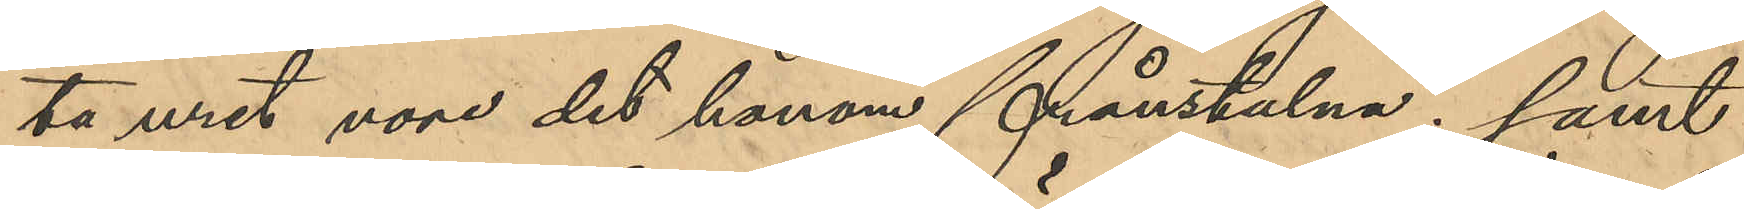ta uret vore det honom frånstulna; samt
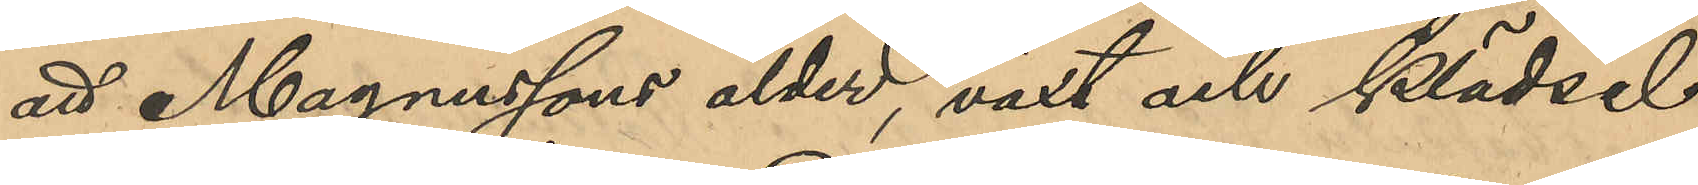att Magnussons ålder, växt och klädsel
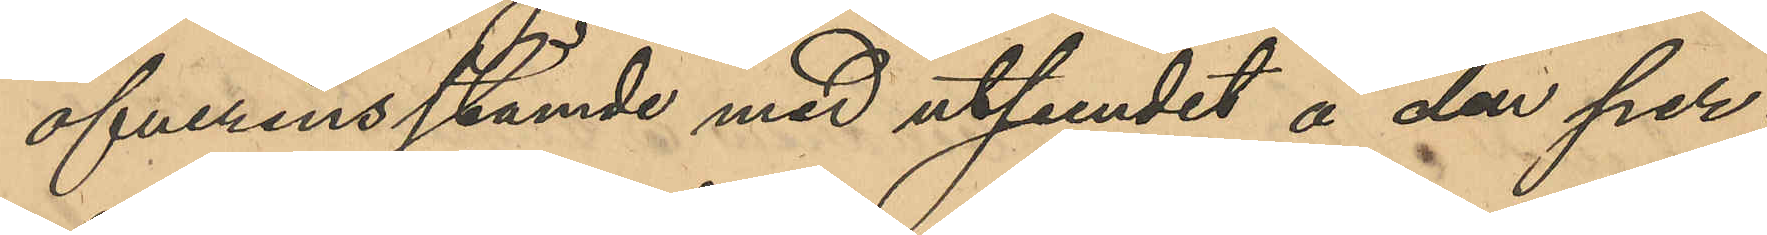öfverensstämde med utseendet å den per¬
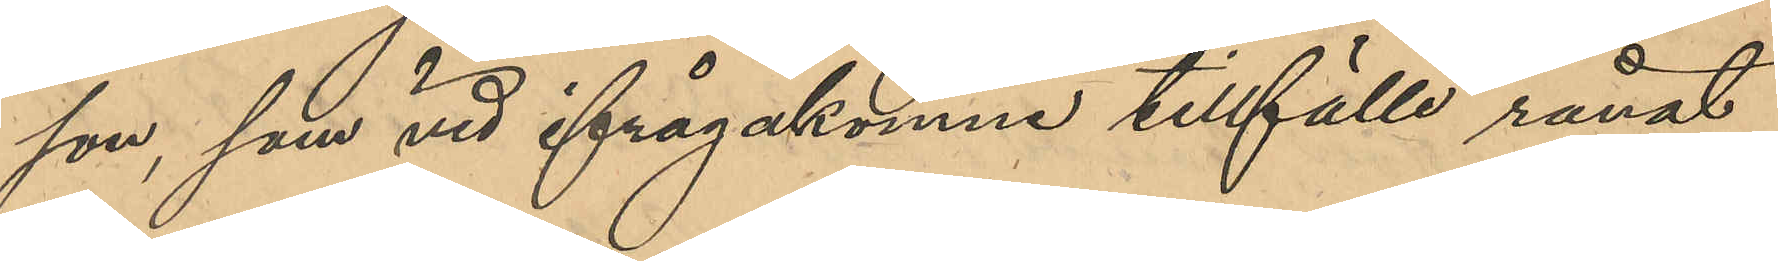son, som vid ifrågakomne tillfälle rånat
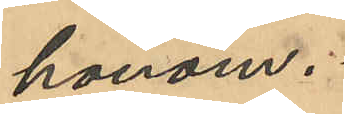honom.
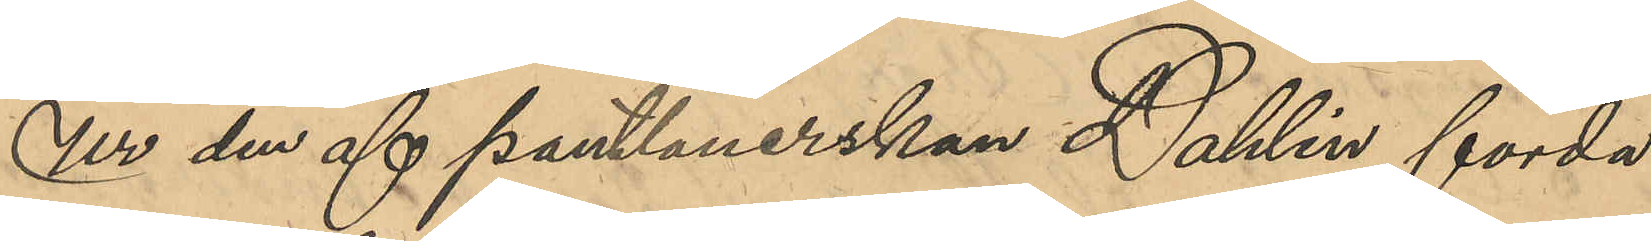Ur den af pantlånerskan Dahlin förda
